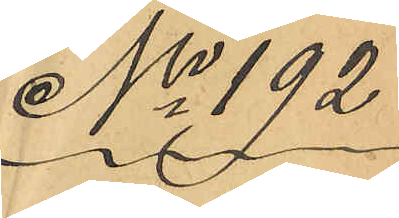No 192
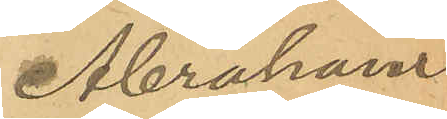Abraham
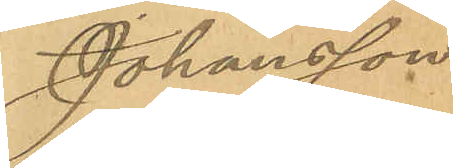Johansson
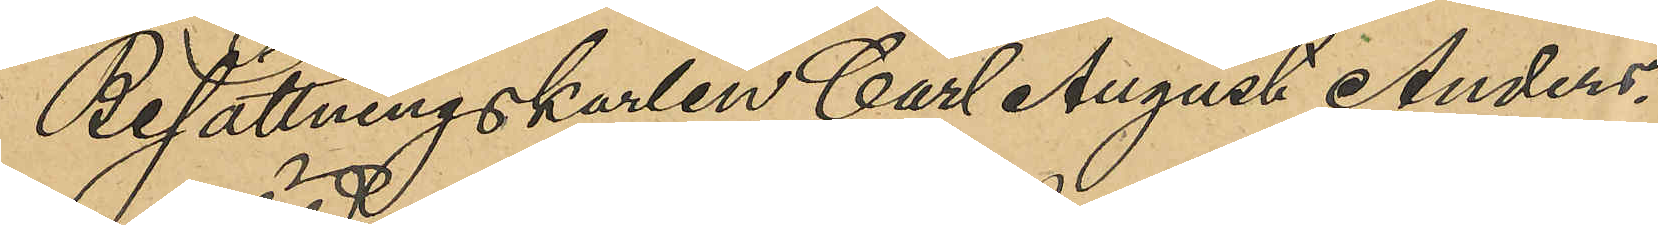Besättningskarlen Carl August Anders¬
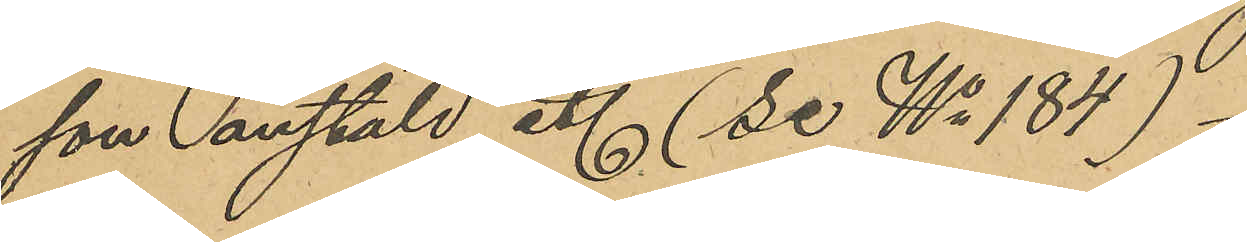son anstäld etc (se No 184)
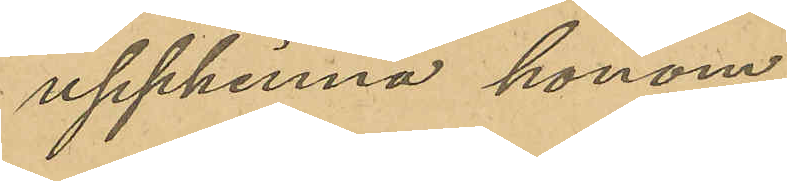upphinna honom.
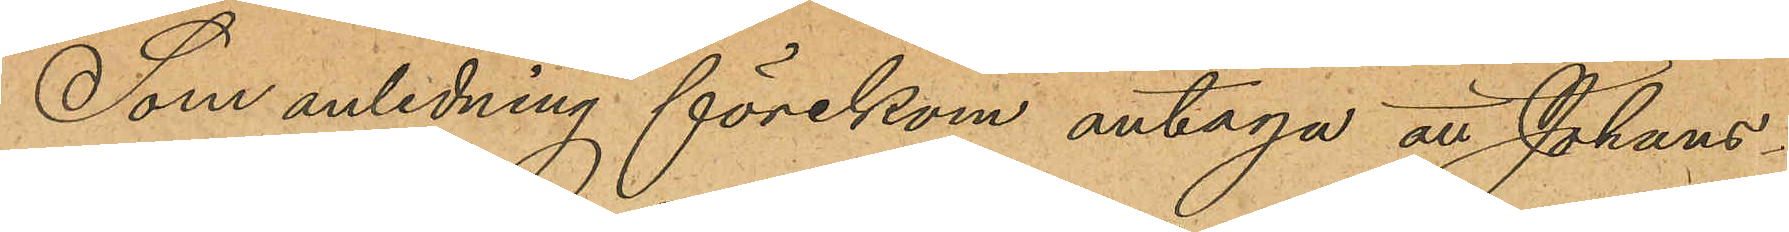Som anledning förekom antaga att Johans¬
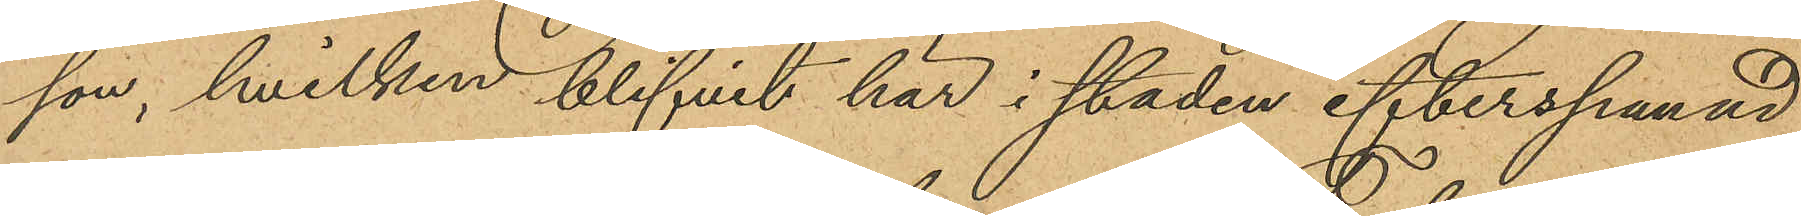son, hvilken blifvit här i staden efterspanad,
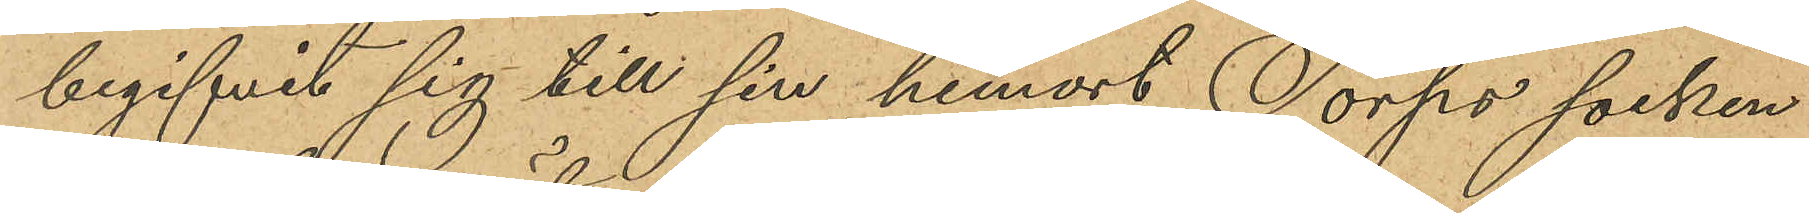begifvit sig till sin hemort Torps socken
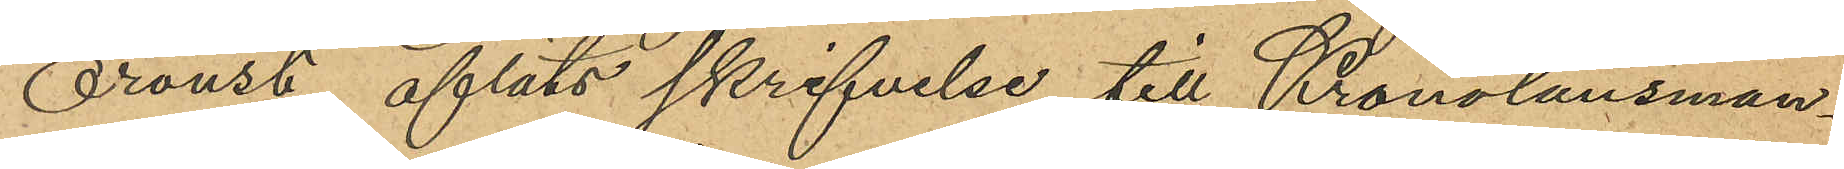Oroust, afläts skrifvelse till Kronolänsman¬
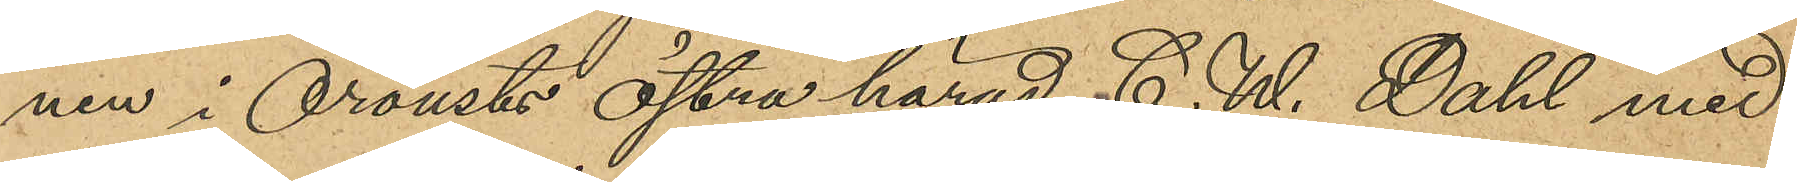nen i Orousts Östra härad C. W. Dahl med
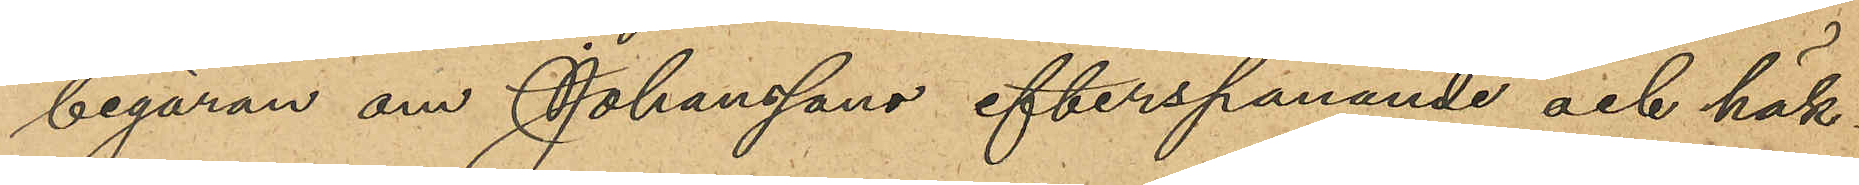begäran om Johanssons efterspanande och häk¬
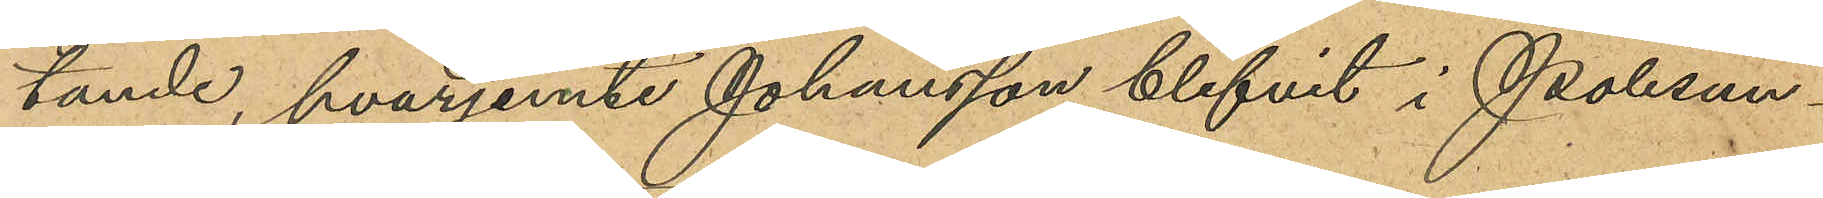tande, hvarjemte Johansson blifvit i Polisun¬
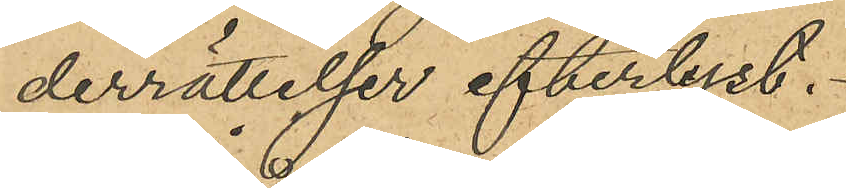derrättelser efterbyst.
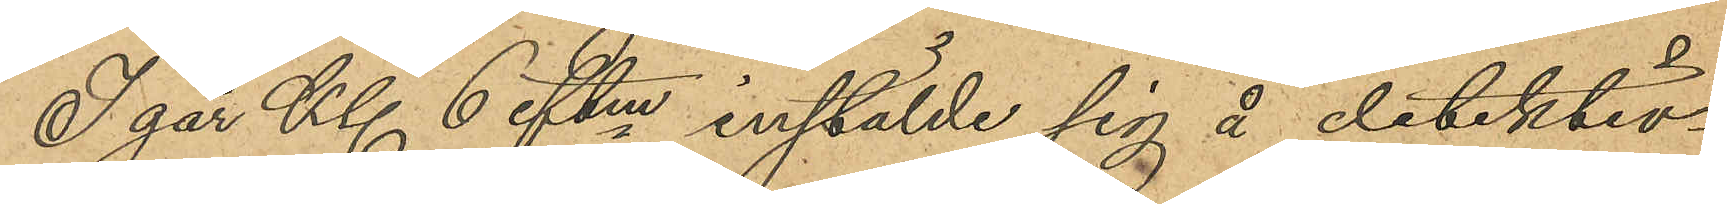I går Kl 6 eftm instälde sig å detektiv¬
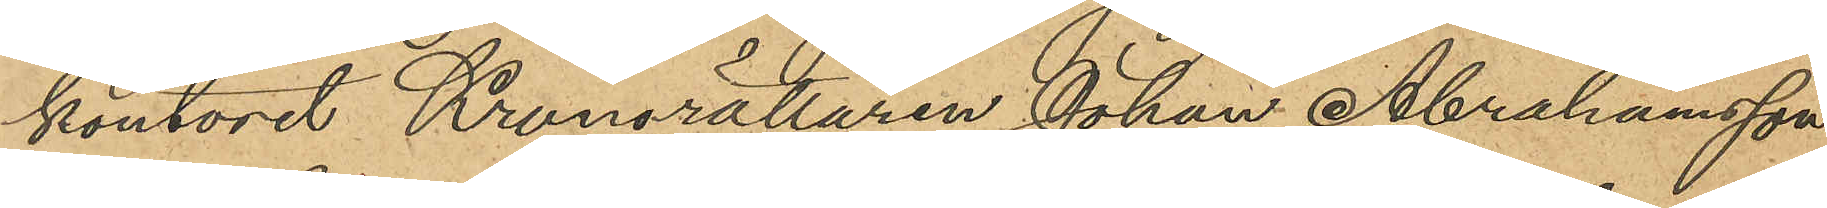kontoret Kronorättaren Johan Abrahamsson
